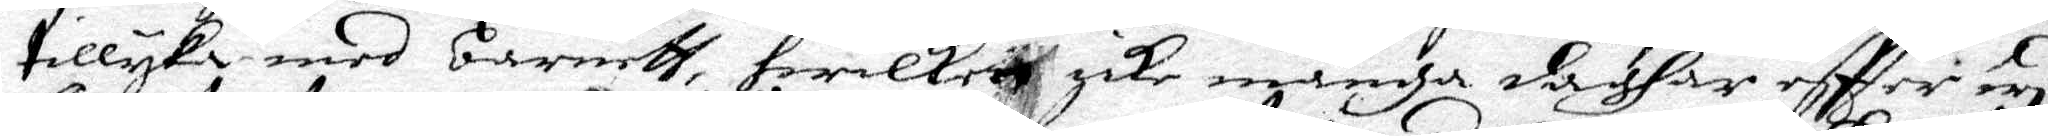tillyka med barneth, hwilketh icke många daghar effter wyd
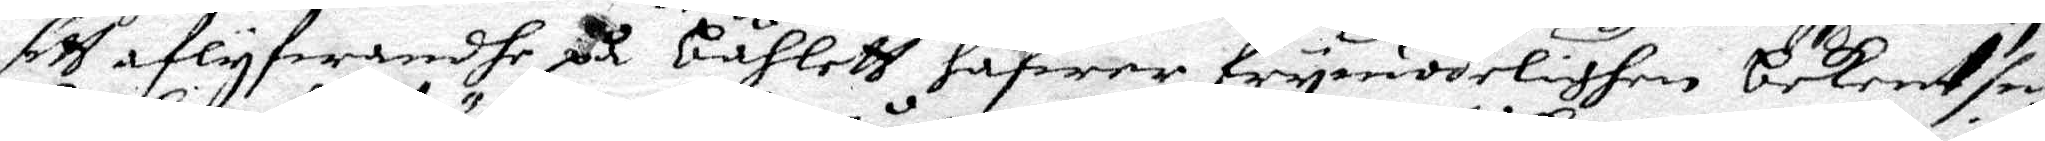sitt aflyfwandhe på båhleth hafwer frymodelighen bekent sin
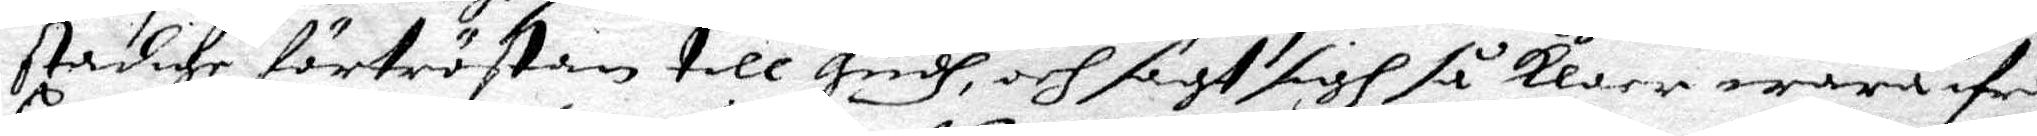stadige förtröstan till Gudh, och sagt sigh så Klarr wara ifrån
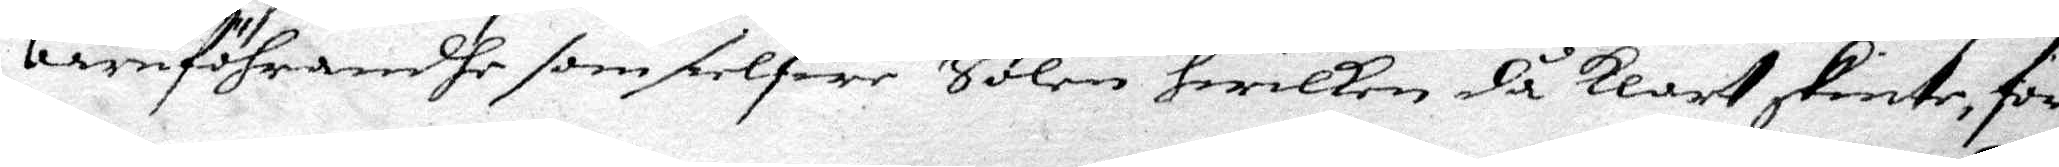barnföhrandhe som sielfwe Solen hwilken då klart skinte, för¬
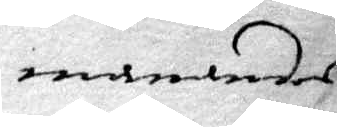manandes
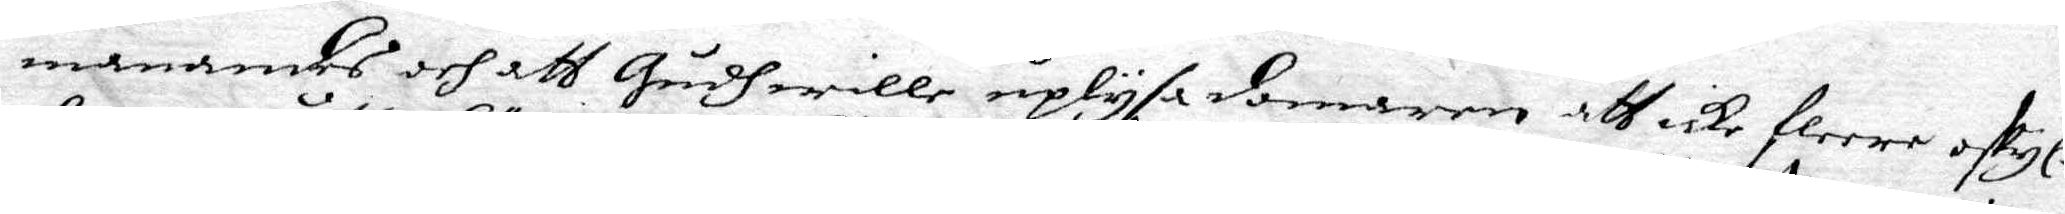manandes och att Gudhwille uplysa domaren att icke fleera oskyl¬
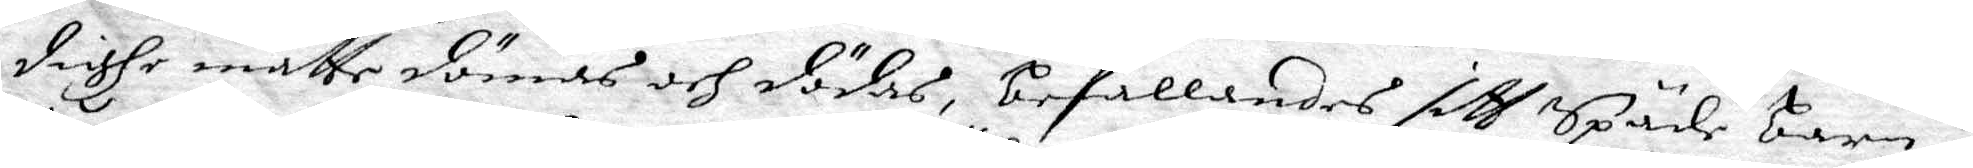dighe måtte dömas och dödas, befallandes sith Späde barn i
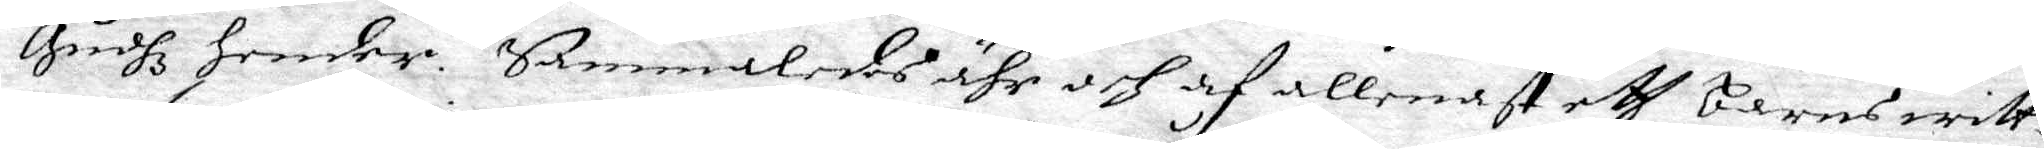Gudhz hender. Sammaledes ähr och af allenast ett barns witt¬
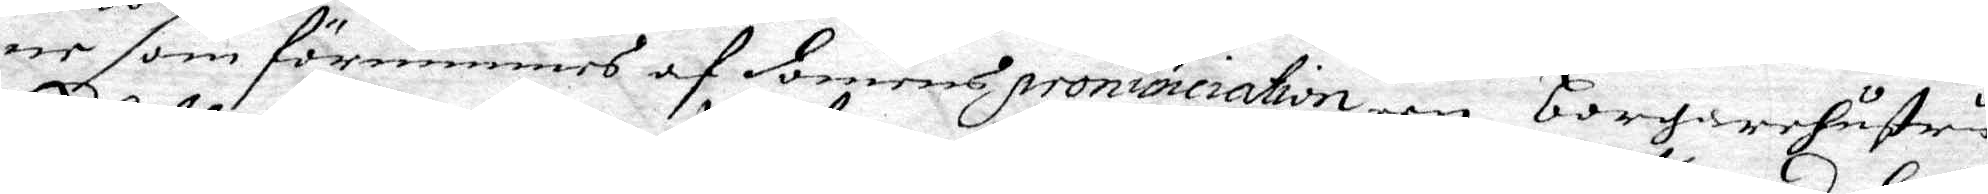ne som förnimmes af domerens pronunciation een borgarehustru
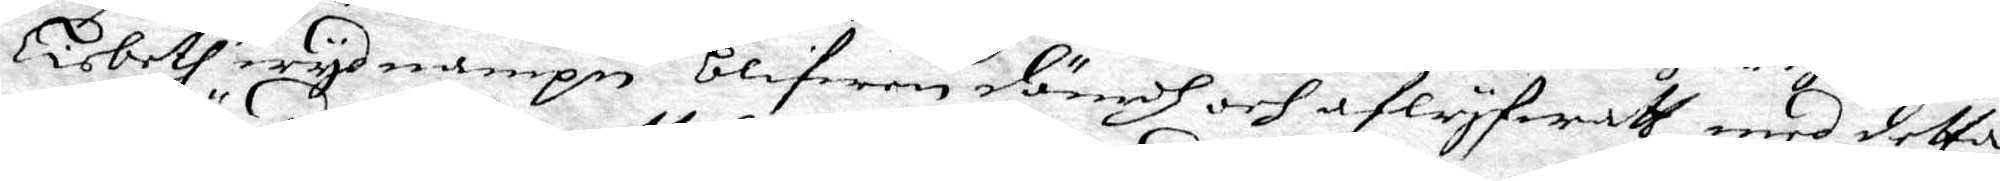Lisbeh wydh nampn blifwen dömdh och aflyfwath med detta
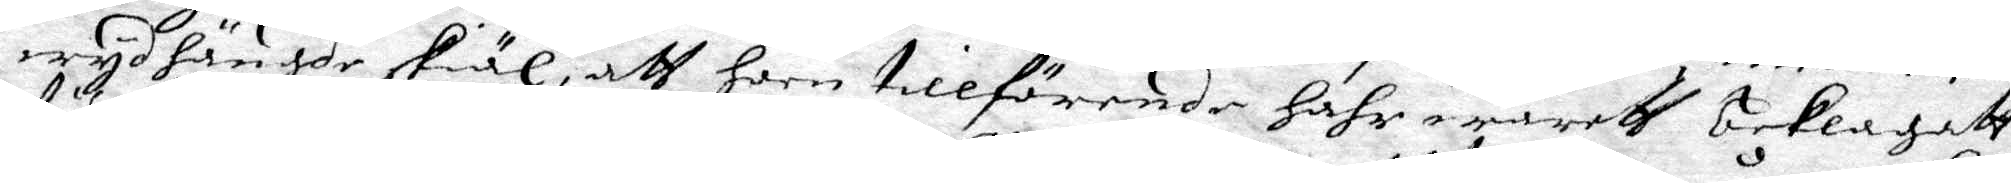wydhängde skiäl, att hon tillförende hahr wareth beklagatt
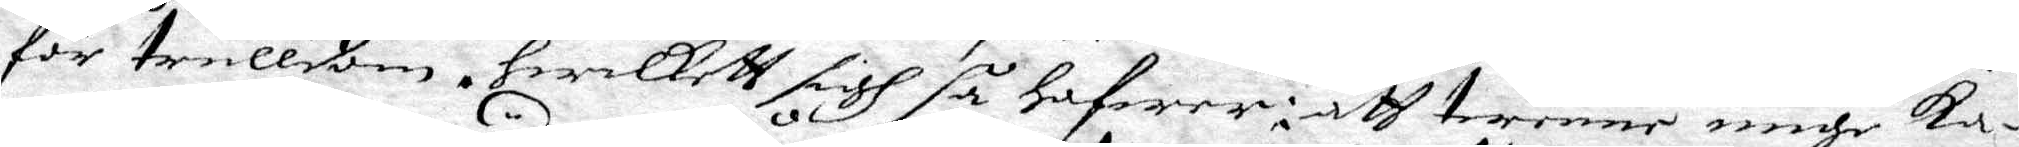för trulldom, hwilkett sigh så hafwer i att twenne unge ka¬
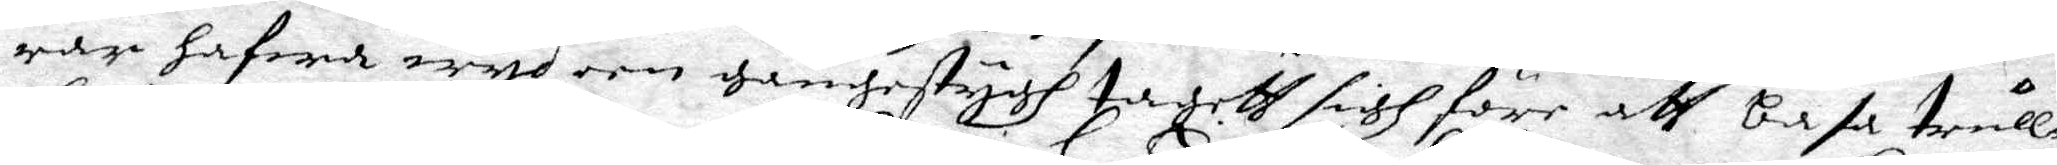rar hafwa wyd een gångestygh tagett sigh före att basa trull¬
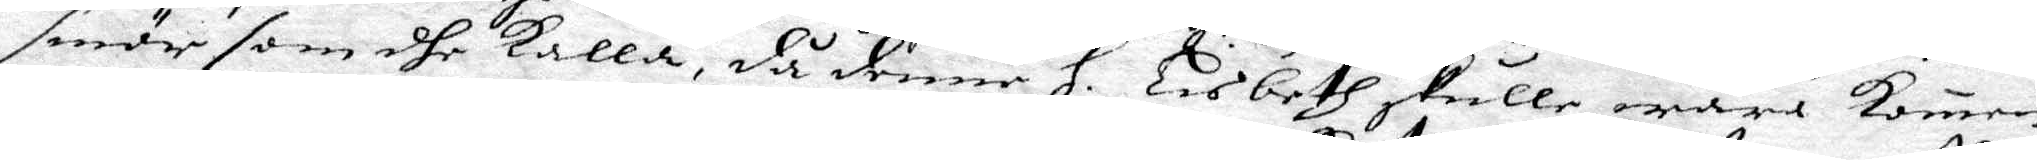smör som dhe kalla, då denne H. Lisbeth skulle wara Kommen
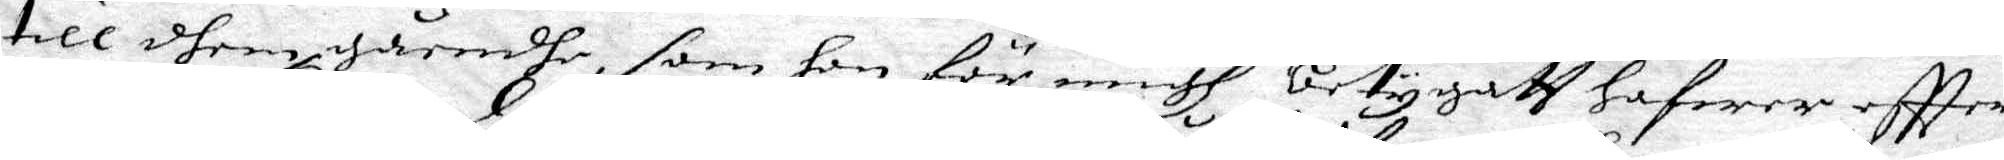till dhem gåendhe, som hon för migh betygatt hafwer effter
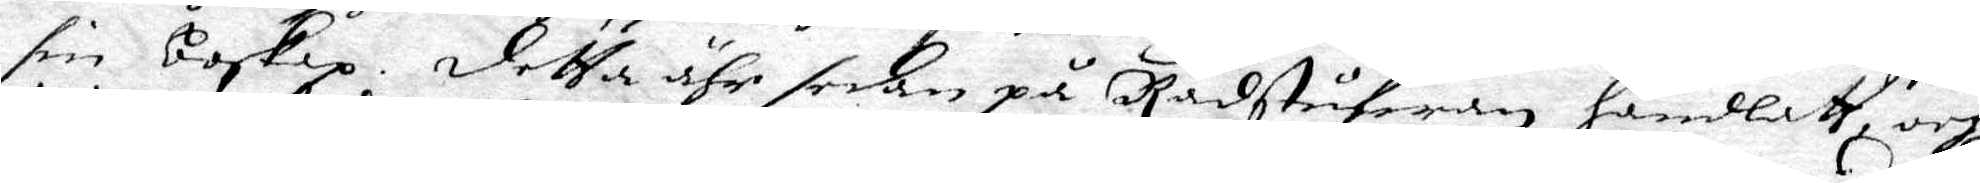sin boskap. Detta ähr sedan på Rådstufwan handlatt och
